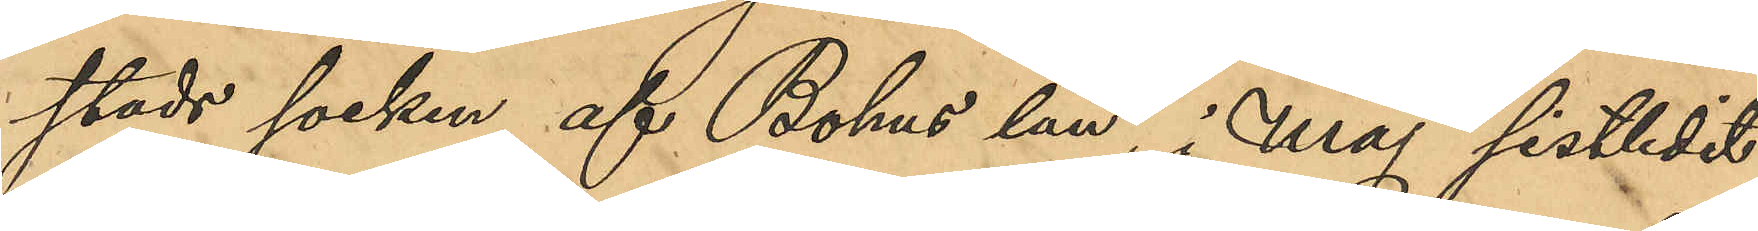stads socken af Bohus län, i Maj sistlidet
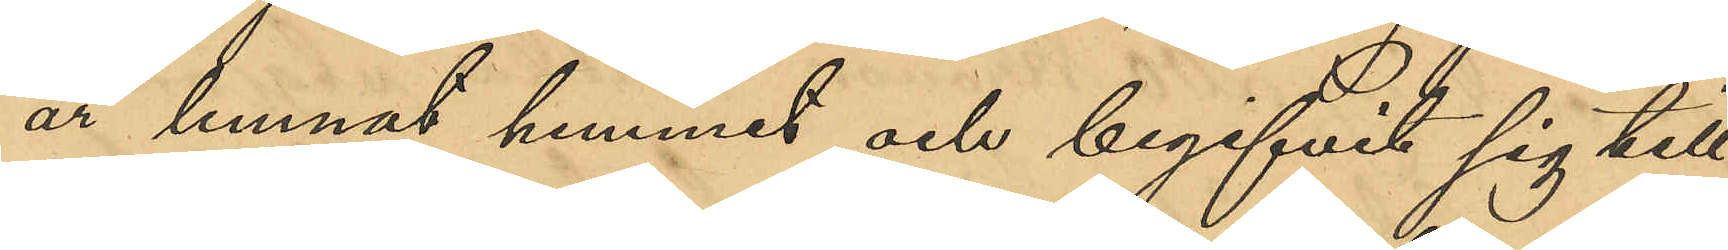år lemnat hemmet och begifvit sig till
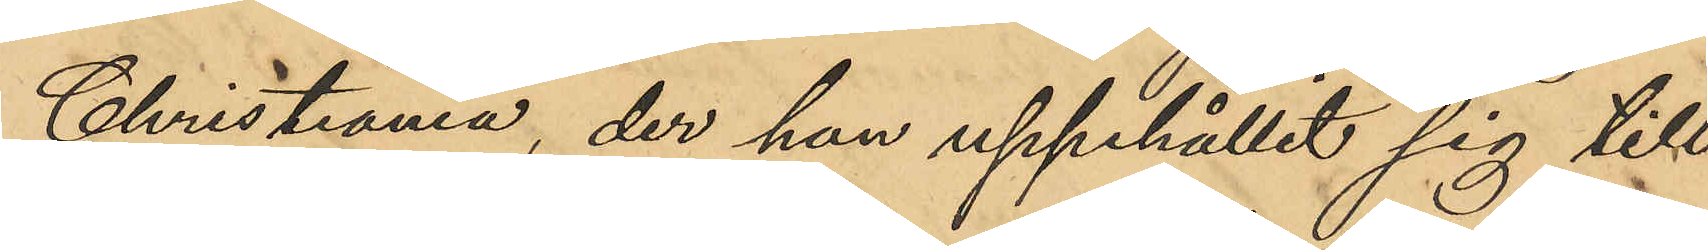Christiania, der han uppehållit sig till
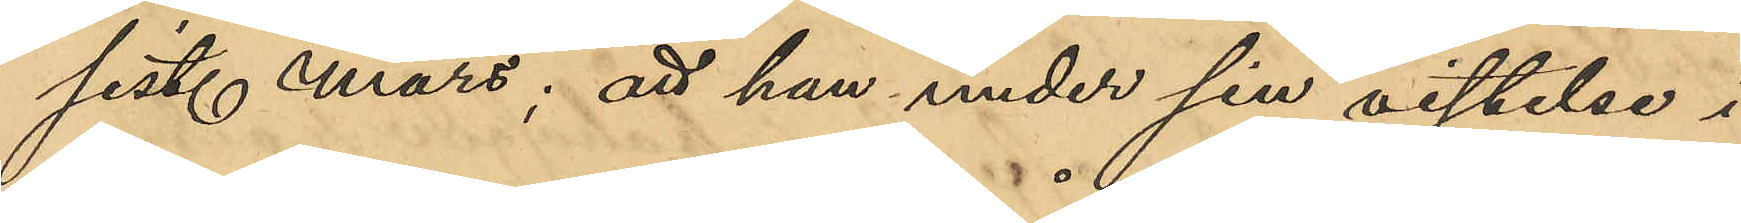sist. mars; att han under sin vistelse i
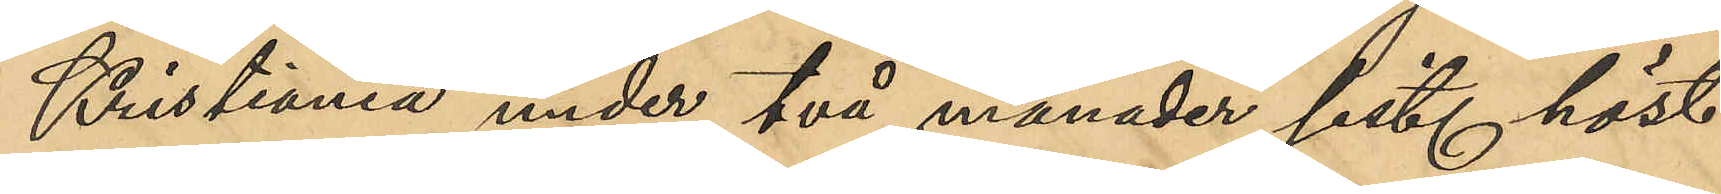Kristiania under två månader sist. höst
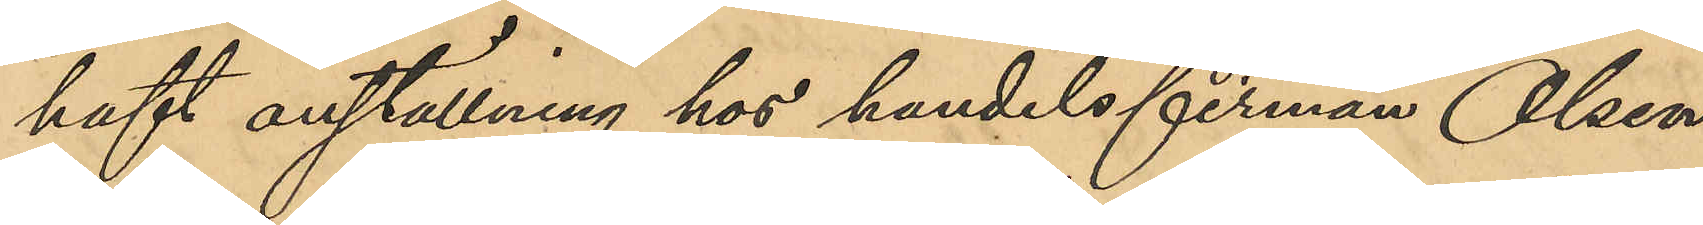haft anställning hos handelsfirman Olsen
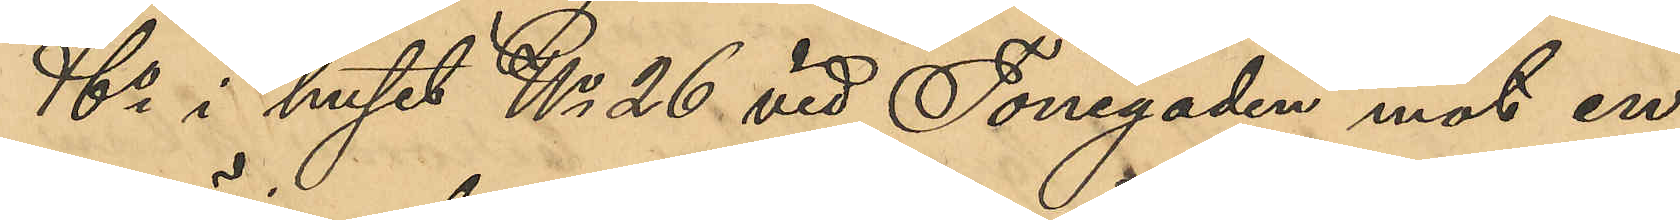& Co i huset No 26 vid Tonegaden mot en
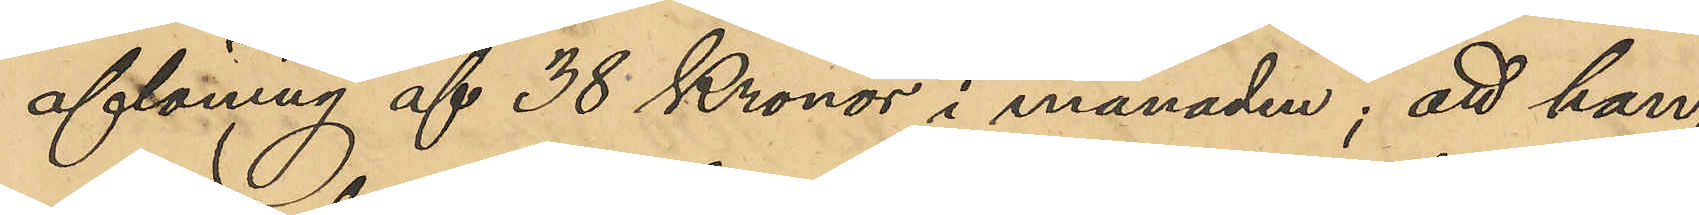aflöning af 38 Kronor i månaden; att han,
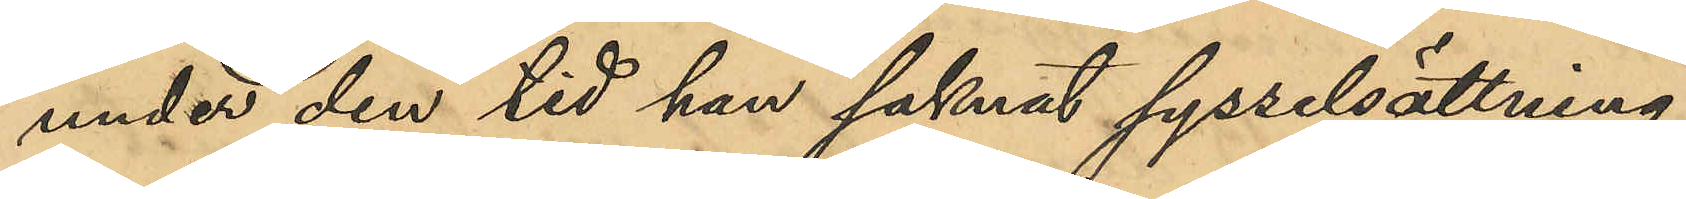under den tid han saknat sysselsättning,
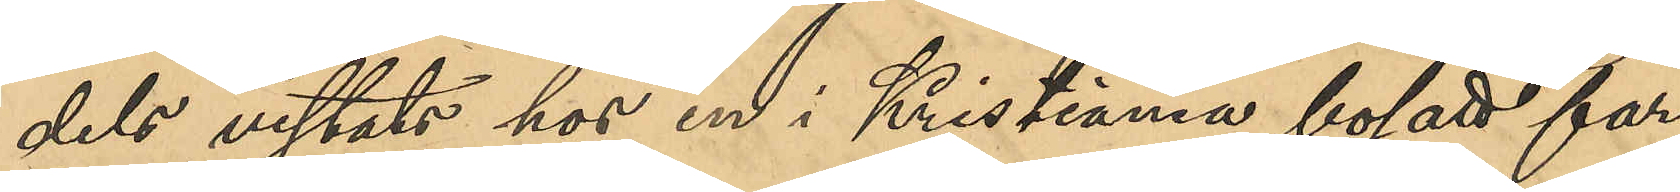dels vistats hos en i Kristiania bosatt far¬
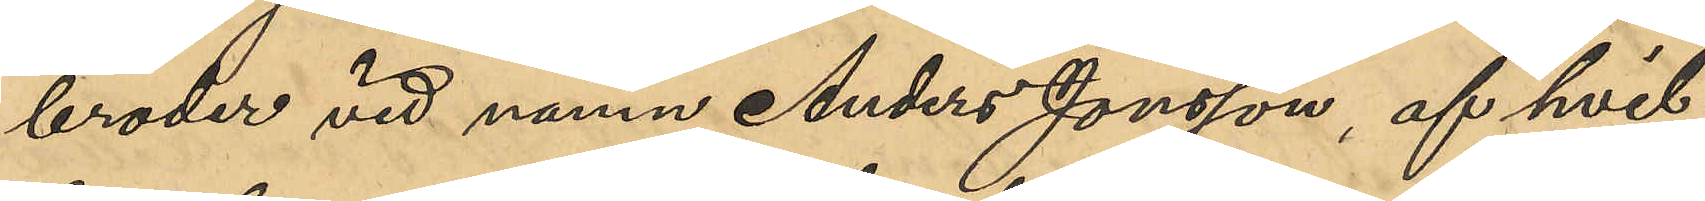broder vid namn Anders Jonsson, af hvil¬
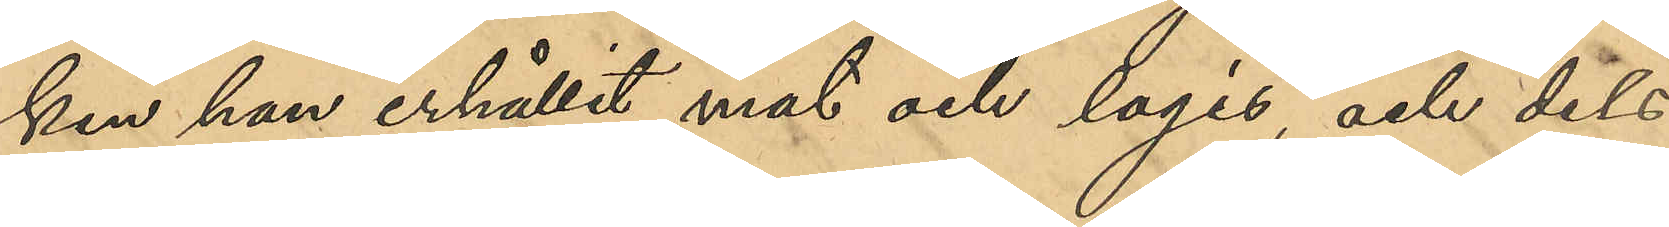ken han erhållit mat och logis, och dels
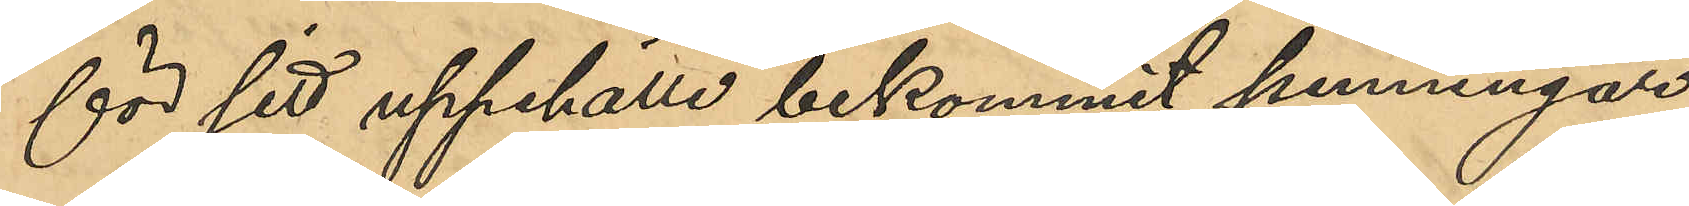för sitt uppehälle bekommit penningar
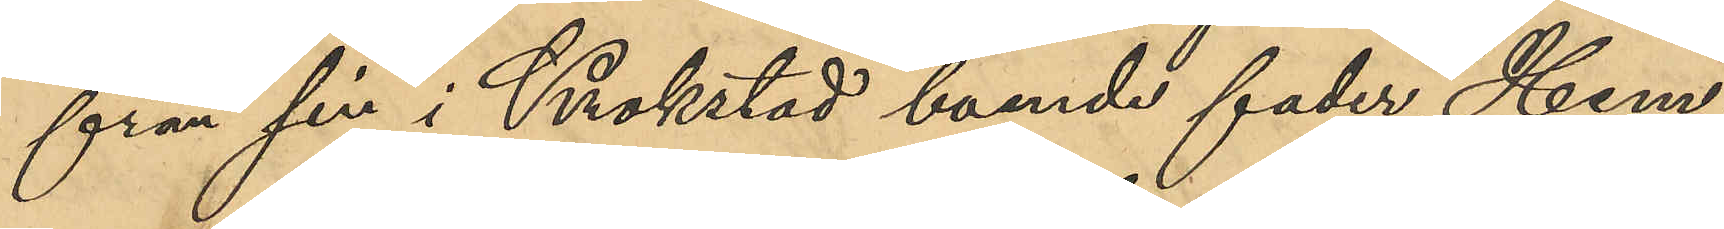från sin i Krokstad boende fader, Hem¬
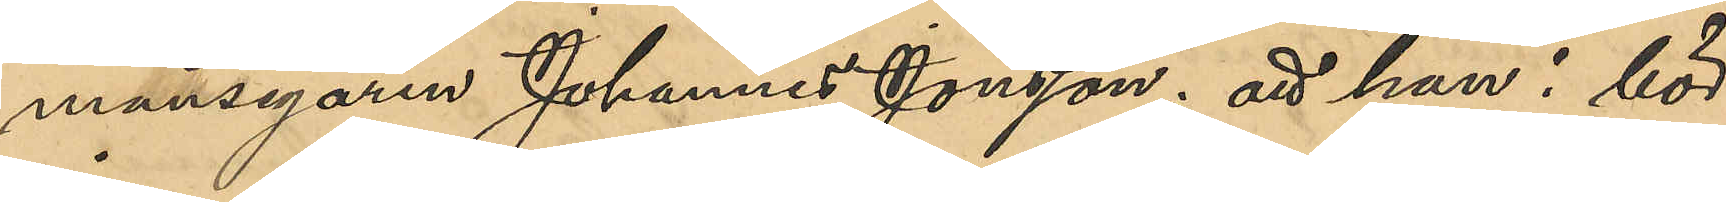mansegaren Johannes Jonsson; att han i bör¬
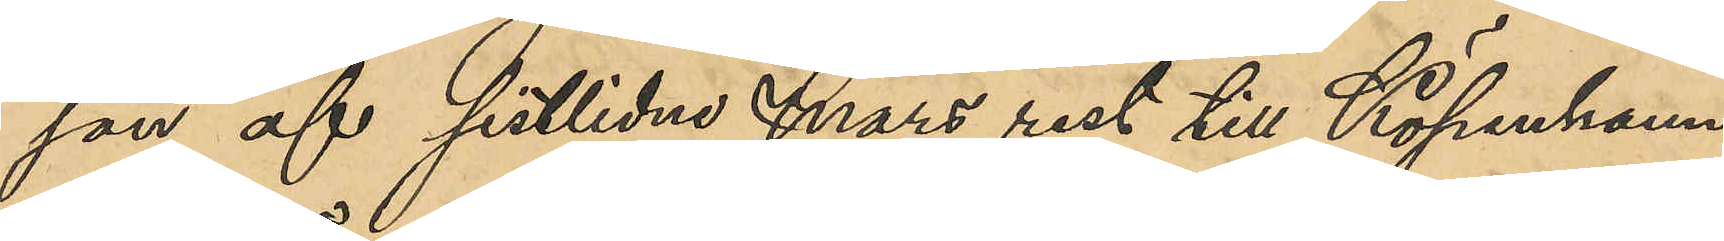jan af sistlidne Mars rest till Köpenhamn
